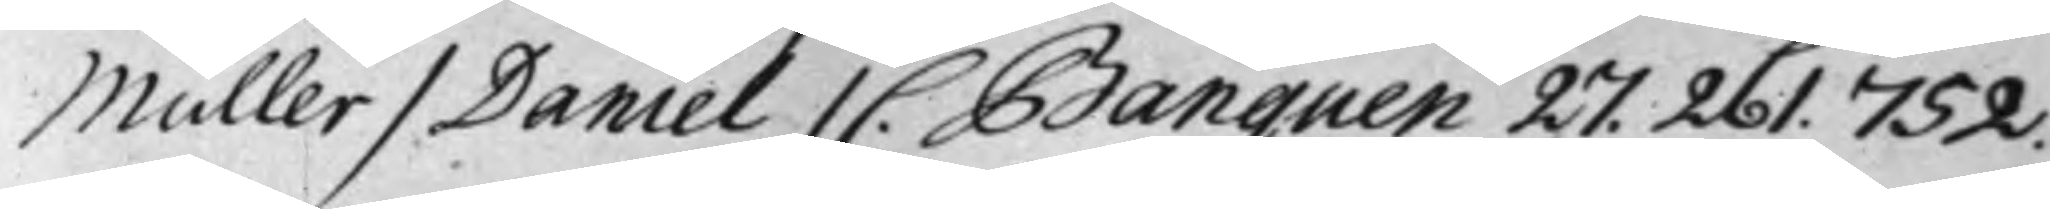Müller / Daniel / C. Banquen 27. 261. 752.
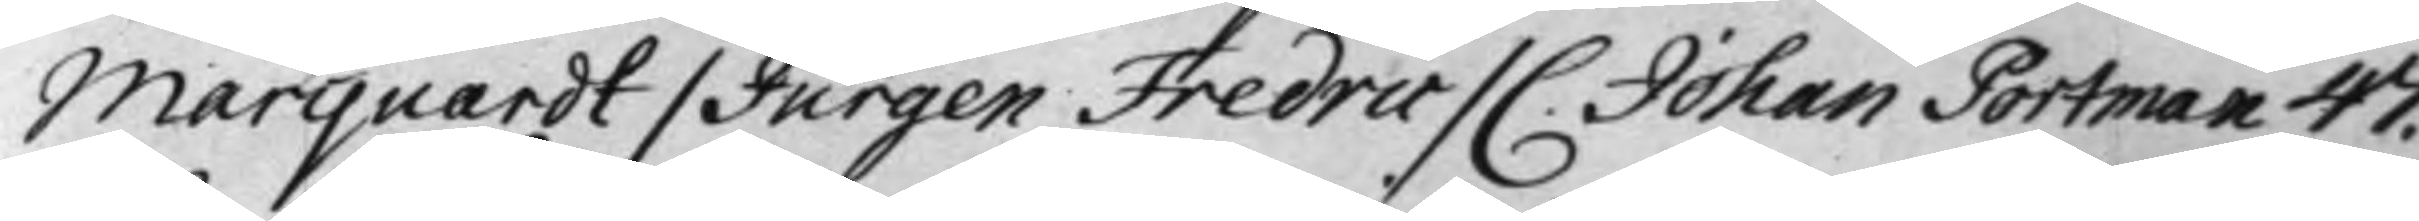Marquardt / Jurgen Fredric / C. Johan Portman 47.
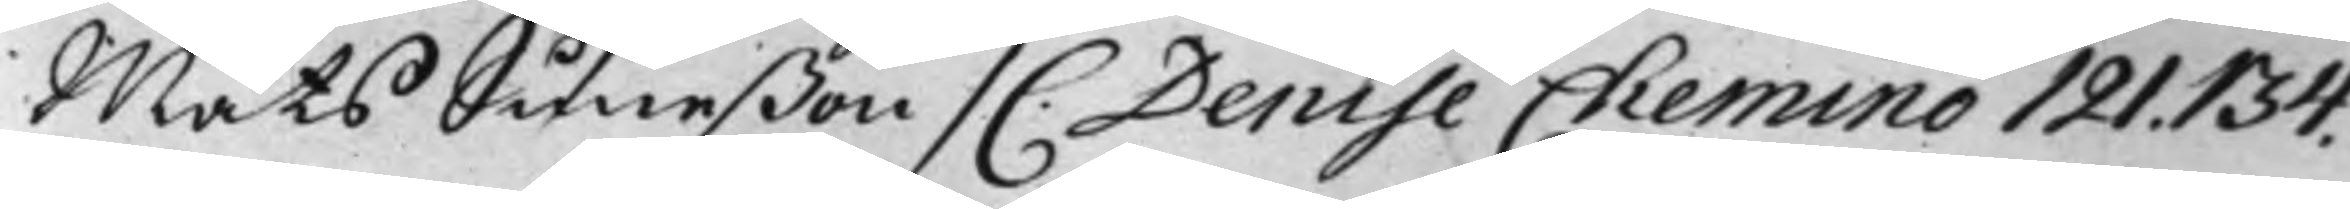Mats Suneßon / C. Denise Chemino 121. 134.
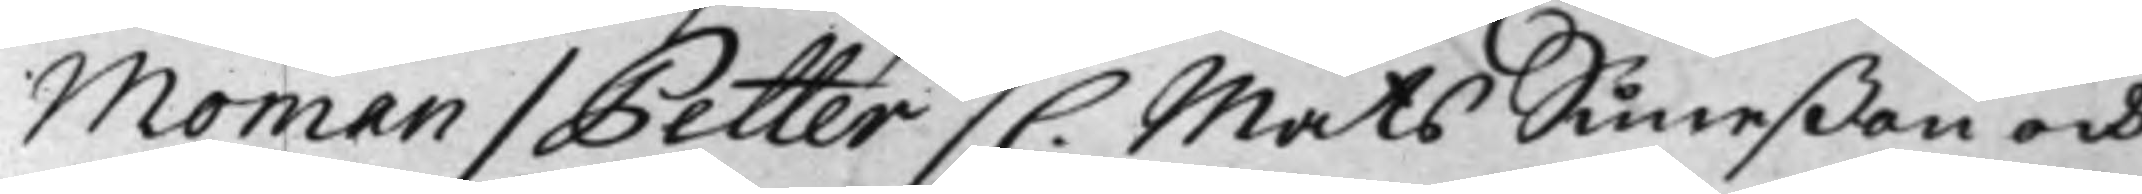Moman / Petter / C. Mats Suneßon och
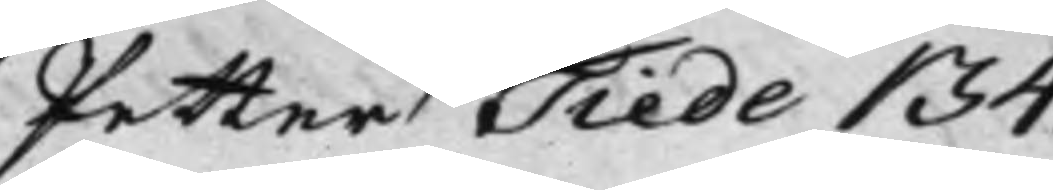Petter Tiede 134.
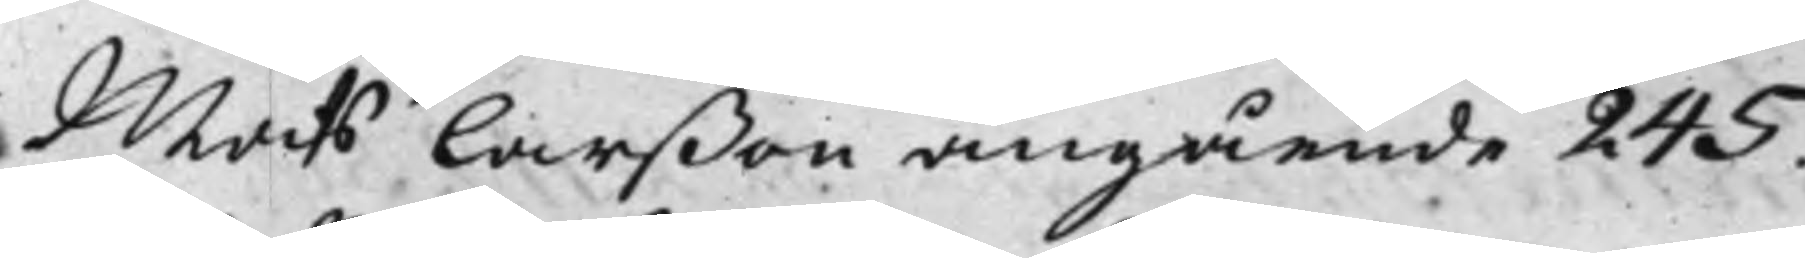Mats Larßon angående 245.
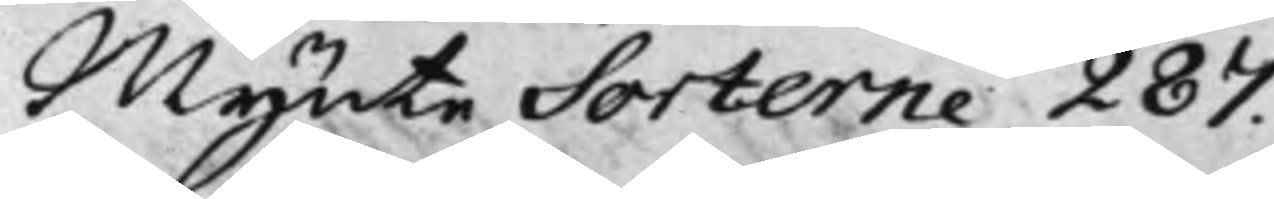Mynte Sorterne 287.
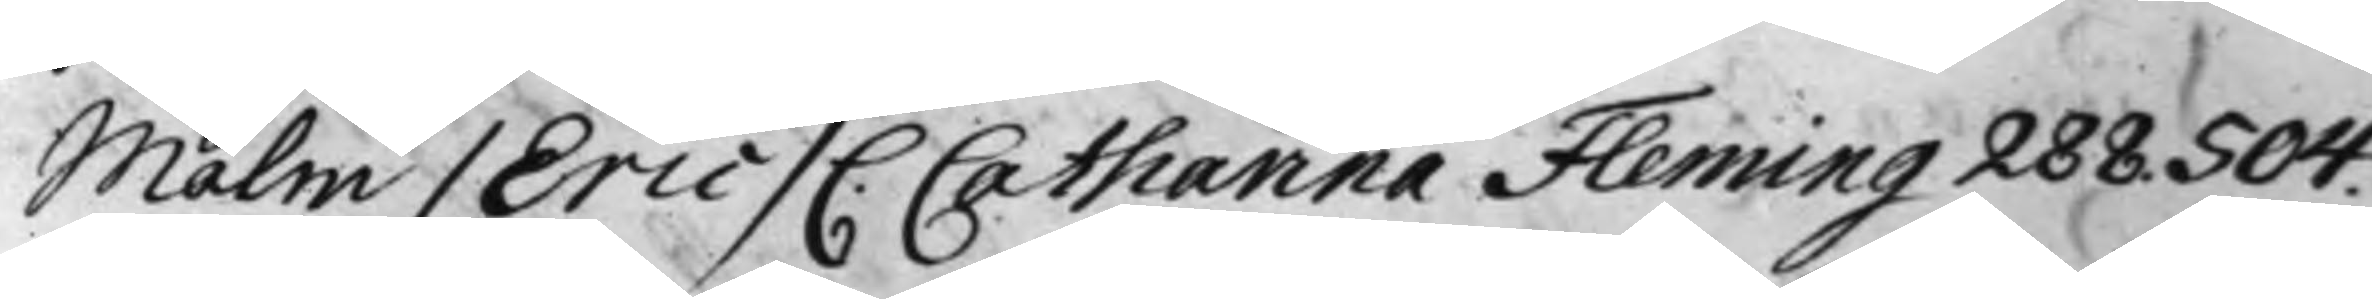Malm / Eric / C. Catharina Fleming 288. 504.
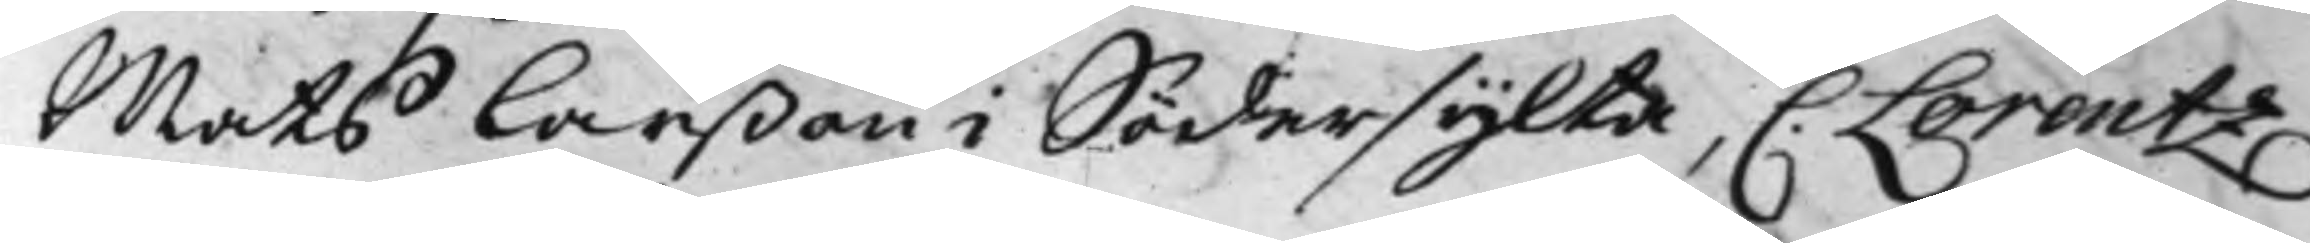Mats Larßon i Södersylta, C. Lorentz
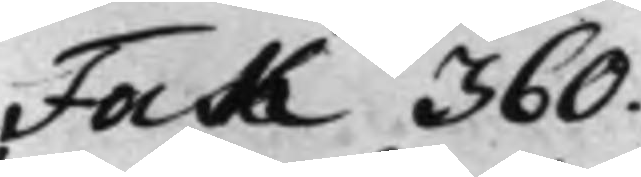Fock 360.
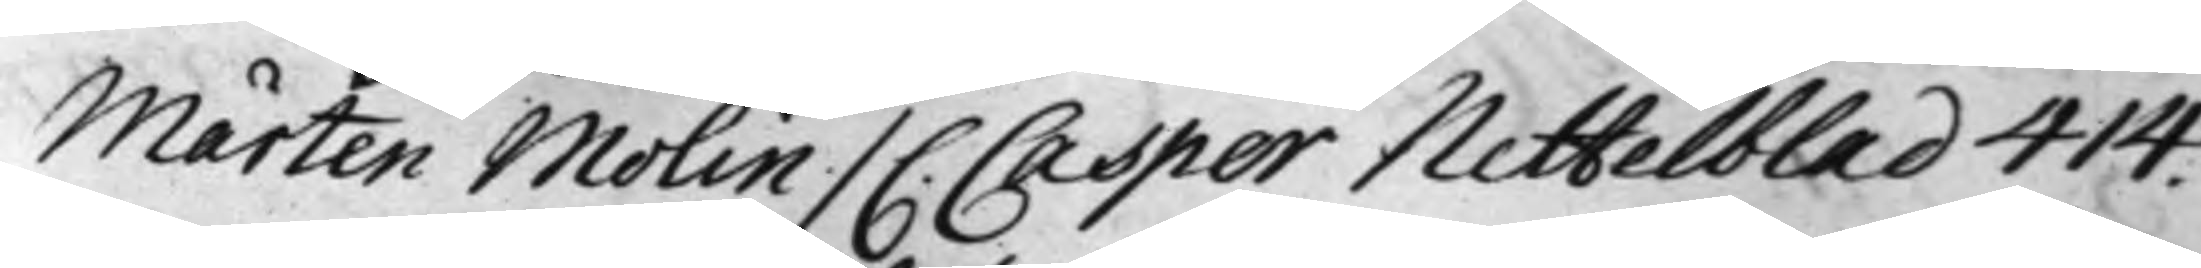Mårten Molin / C. Casper Nettelblad 414.
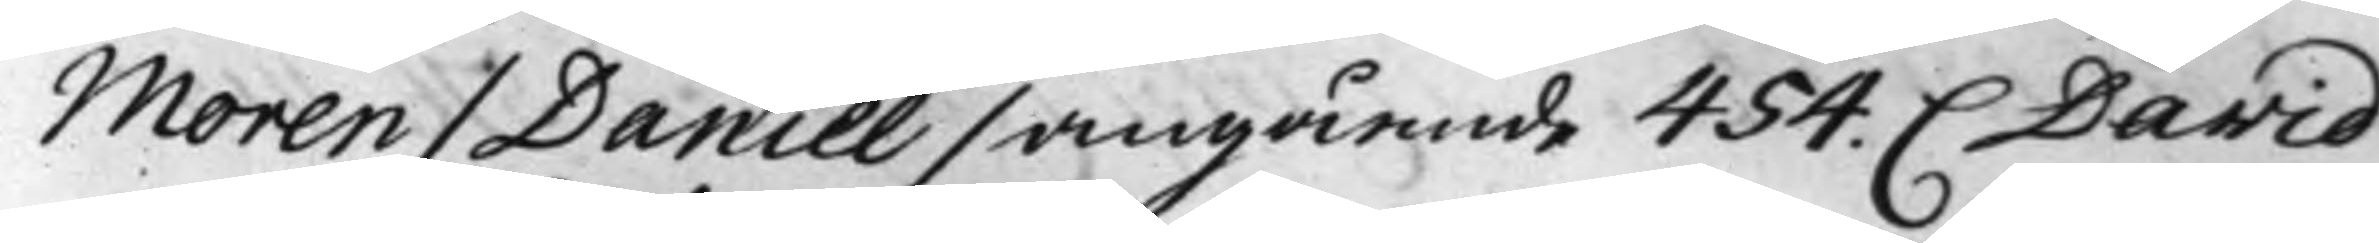Moren / Daniel / angående 454. C David
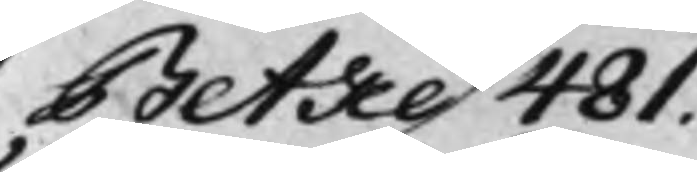Betke 481.
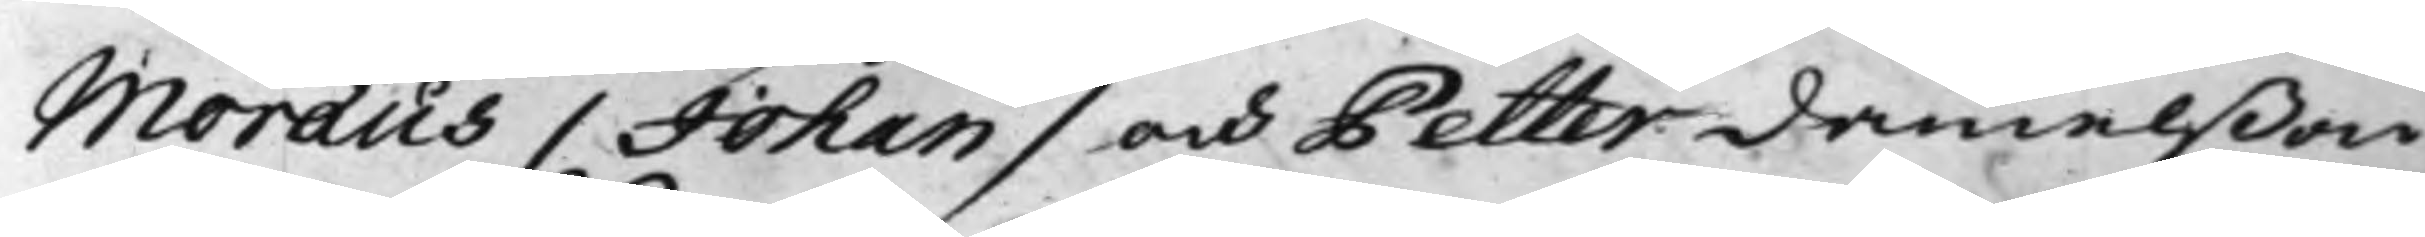Moraeus / Johan / och Petter Danielßon
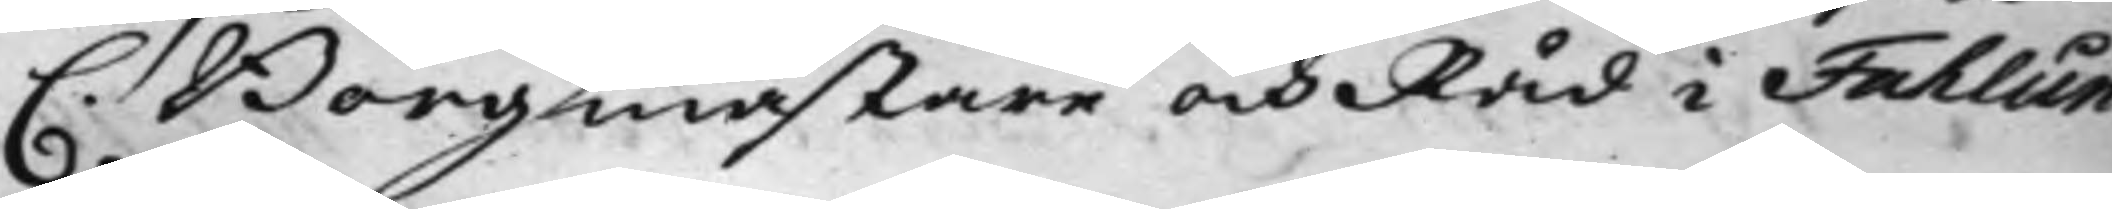C. Borgmästare och Råd i Fahlun
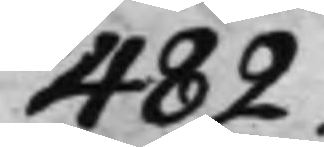482.
